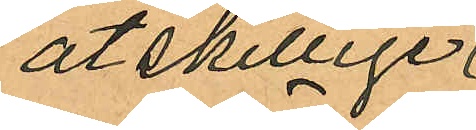åtskillige
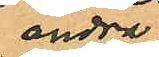andra
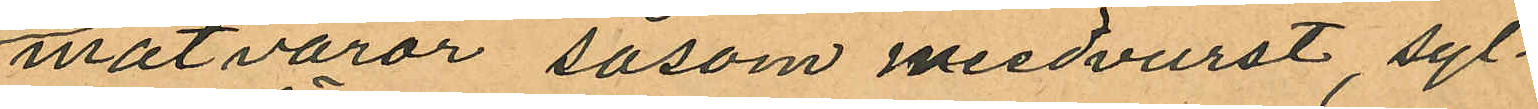matvaror såsom medvurst, syl¬
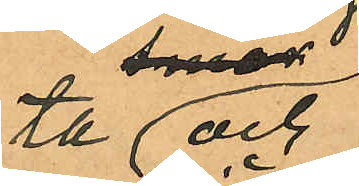ta och
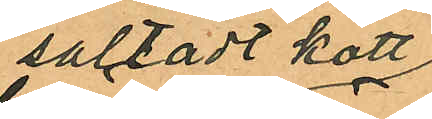saltadt kött
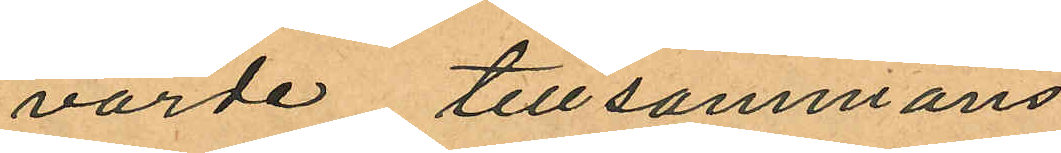värde tillsammans
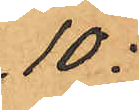10:
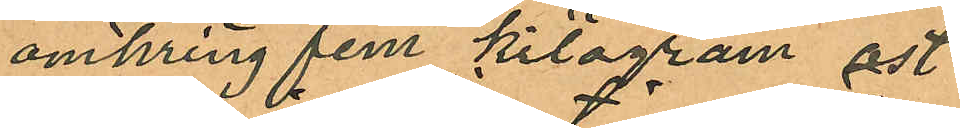omkring fem kilogram ost
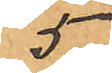5
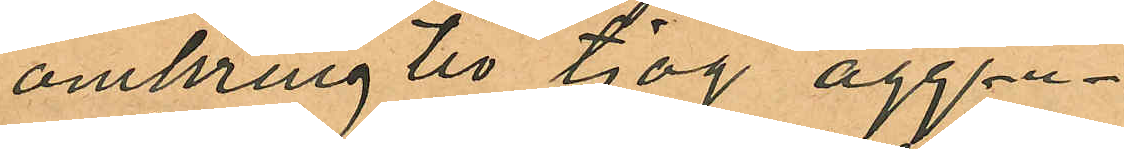omkring tio tjog ägg
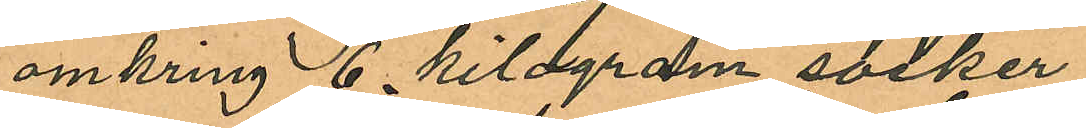omkring 6 kilogram socker
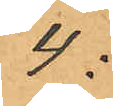4:
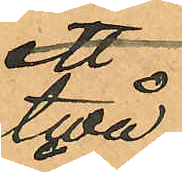två
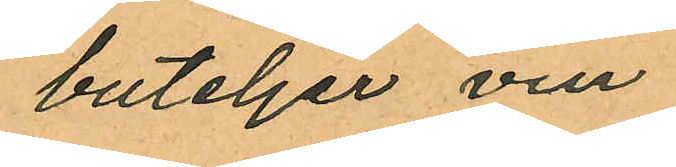buteljer vin
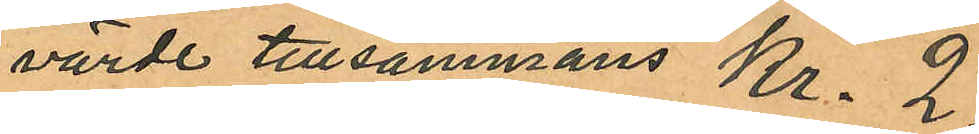värde tillsammans Kr. 2
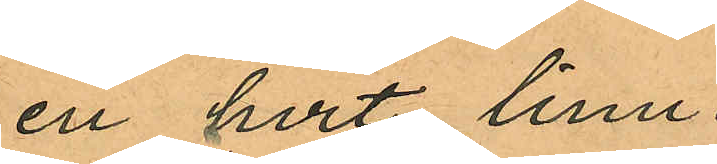en hvit linne
